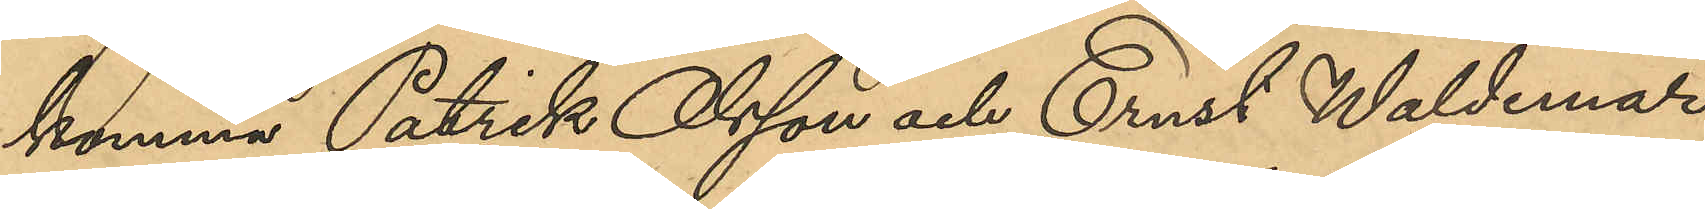komma Patrik Olsson och Ernst Waldemar
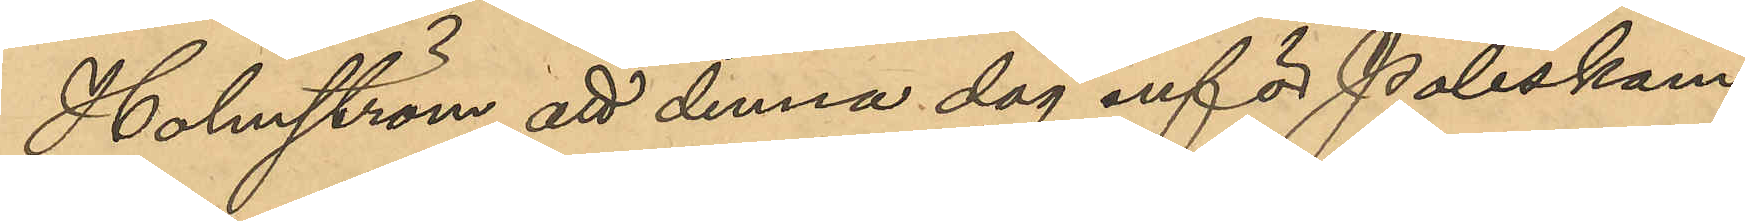Holmström att denna dag inför Poliskam¬
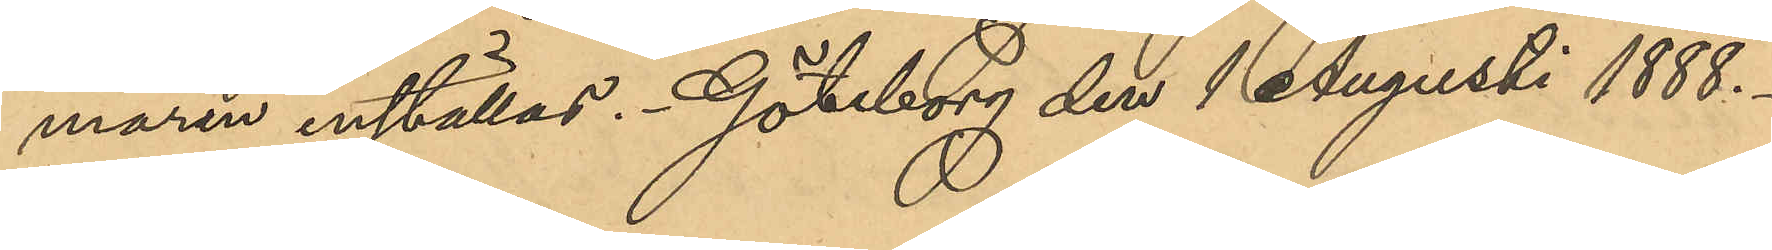maren inställas. Göteborg den 1 Augusti 1888.
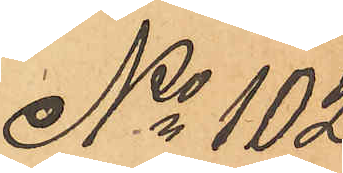No 102
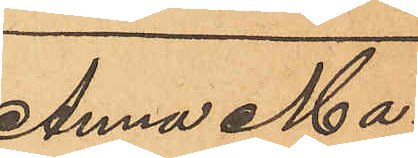Anna Ma¬
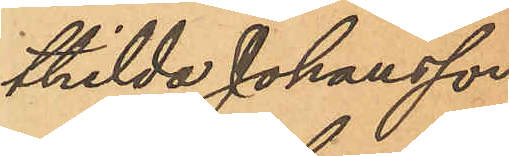thilda Johansson
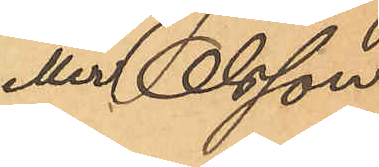eller Olsson.
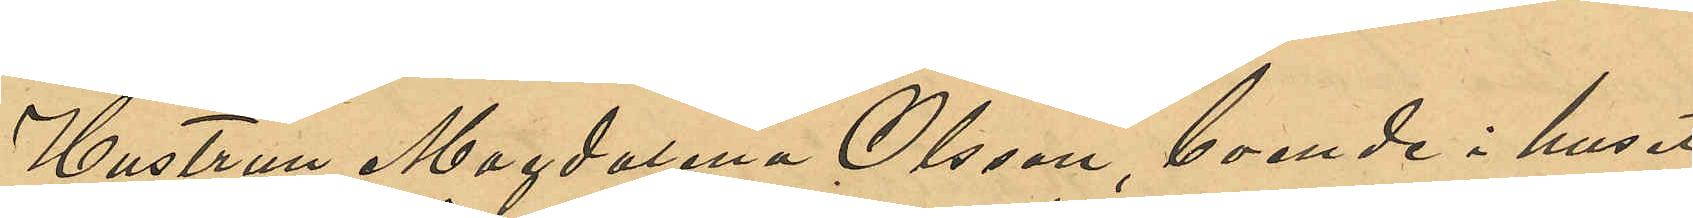Hustrun Magdalena Olsson, boende i huset
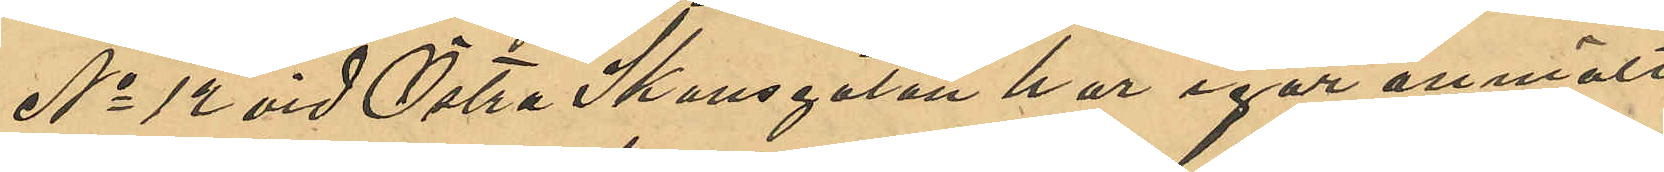No 12 vid Östra Skansgatan har igår anmält
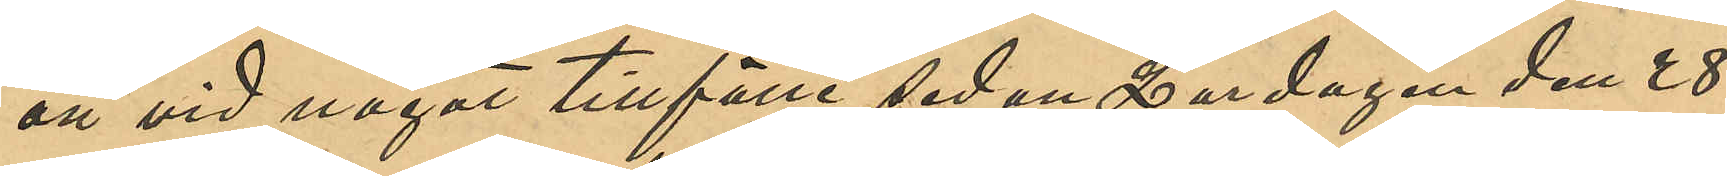att vid något tillfälle sedan Lordagen den 28
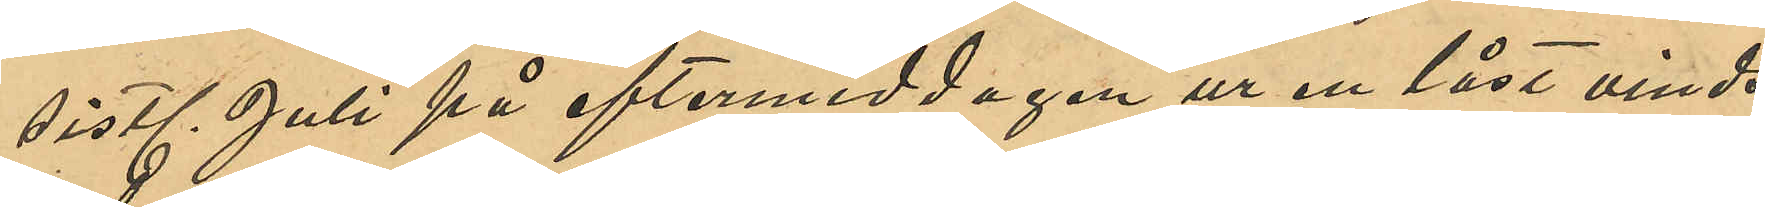sistl. Juli på eftermiddagen ur en låst vinds¬
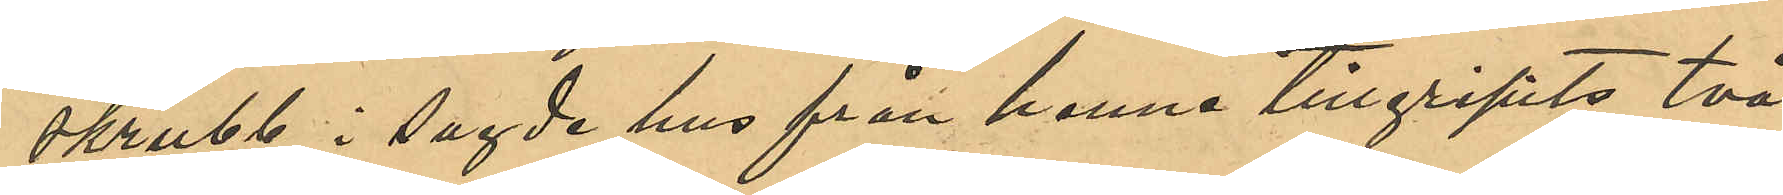skrubb i sagde hus från henne tillgripits två 
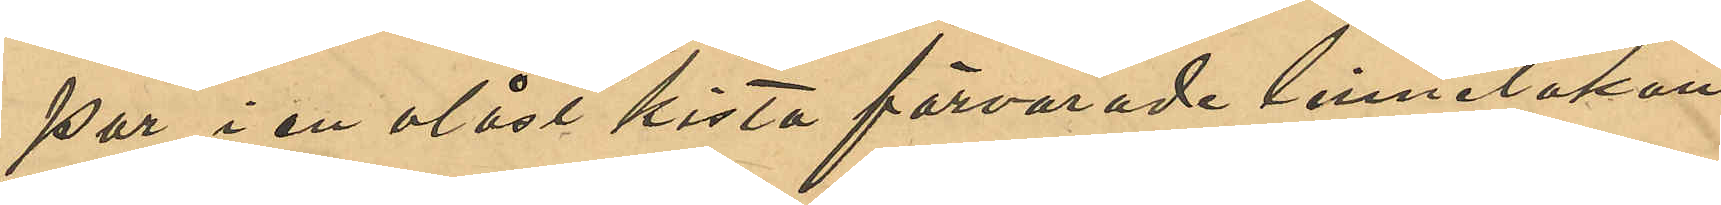par i en olåst kista förvarade linnelakan,
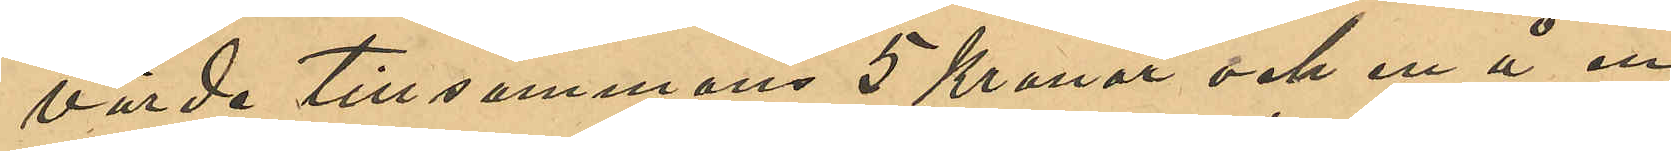värde tillsammans 5 Kronor och en å en
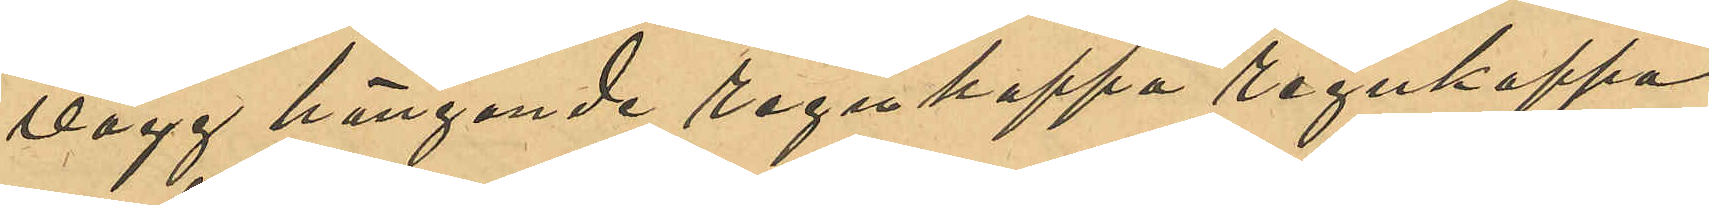vägg hängande regnkappa regnkappa
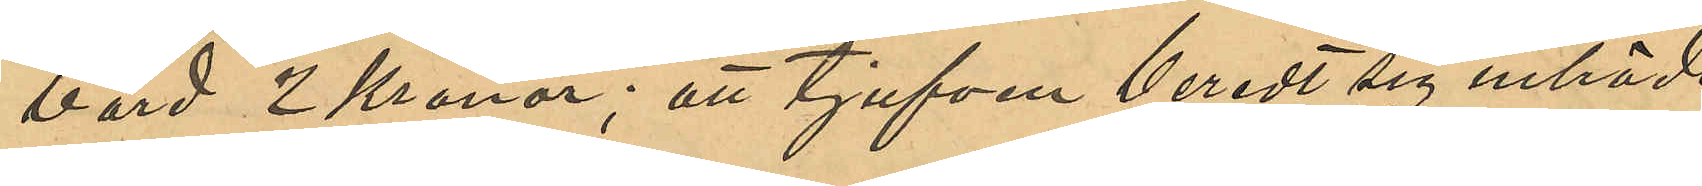värd 2 Kronor; att tjufven berett sig inträde
